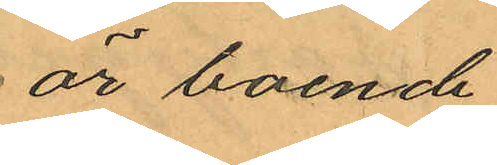är boende
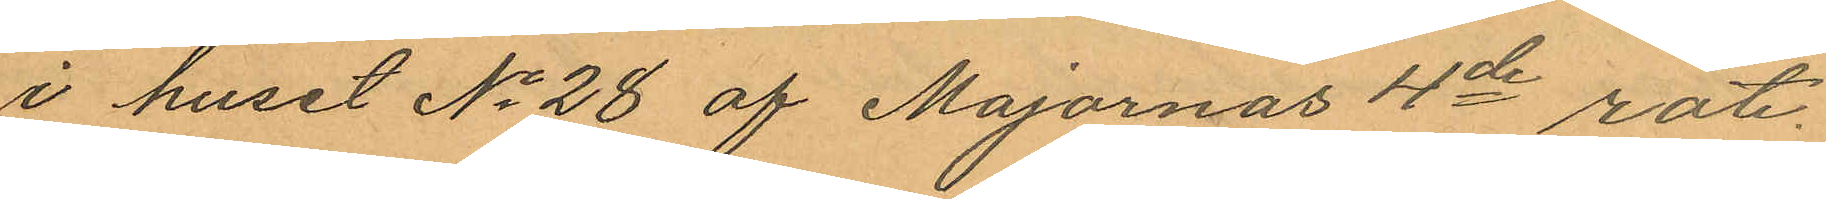i huset No 28 af Majornas 4de rote
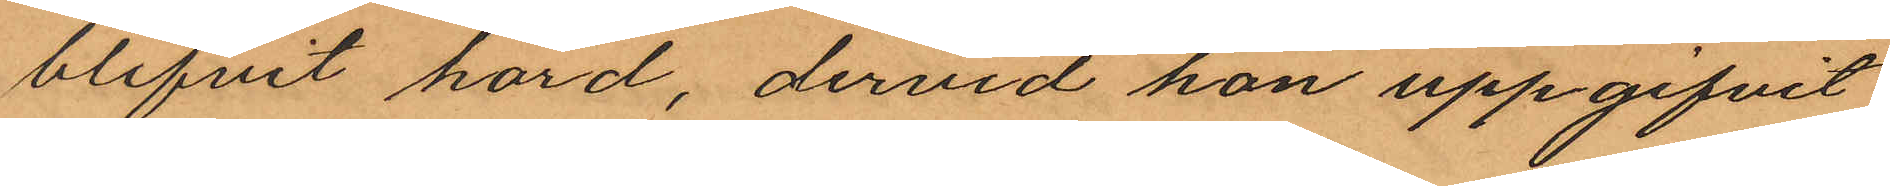blifvit hörd, dervid hon uppgifvit;
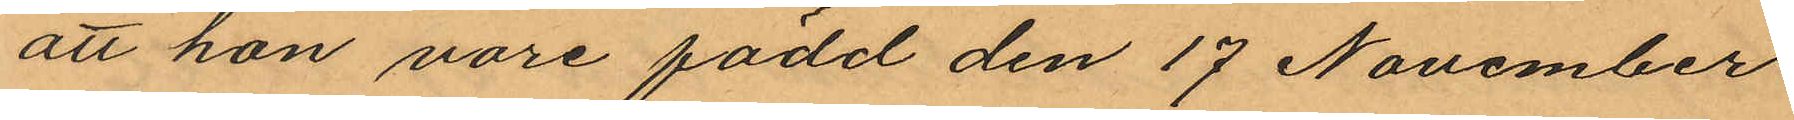att hon vore född den 17 November
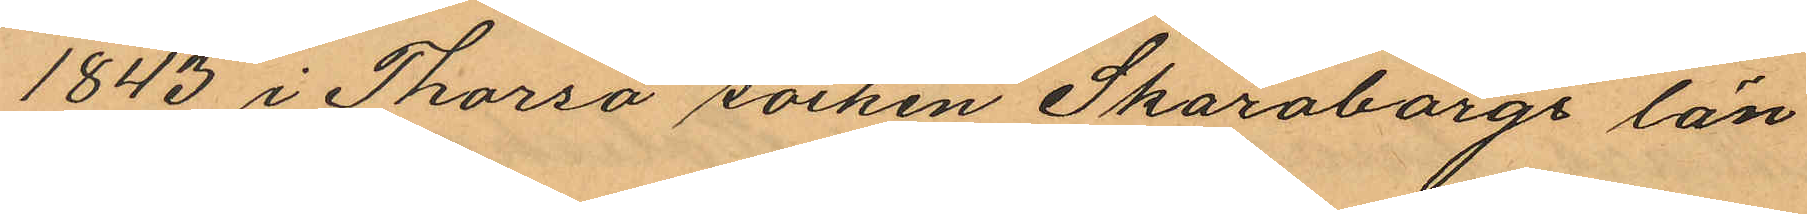1843 i Thorsö socken Skaraborgs län
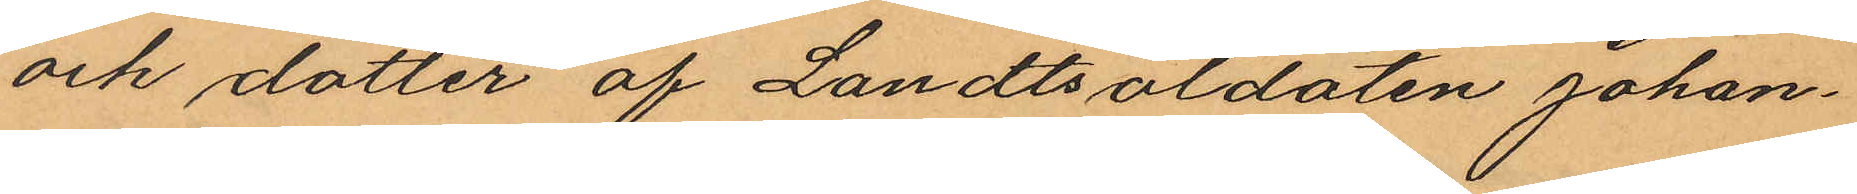och dotter af Landtsoldaten Johan¬
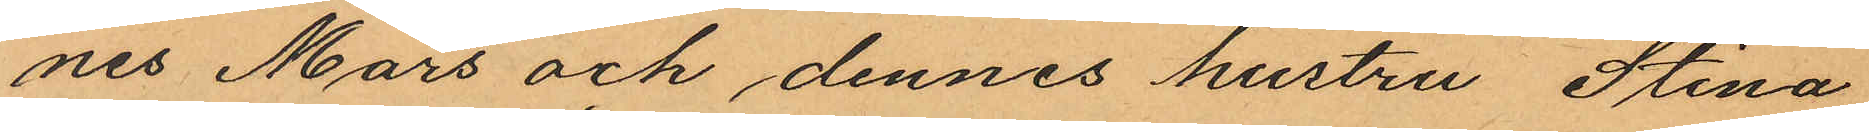nes Mars och dennes hustru Stina
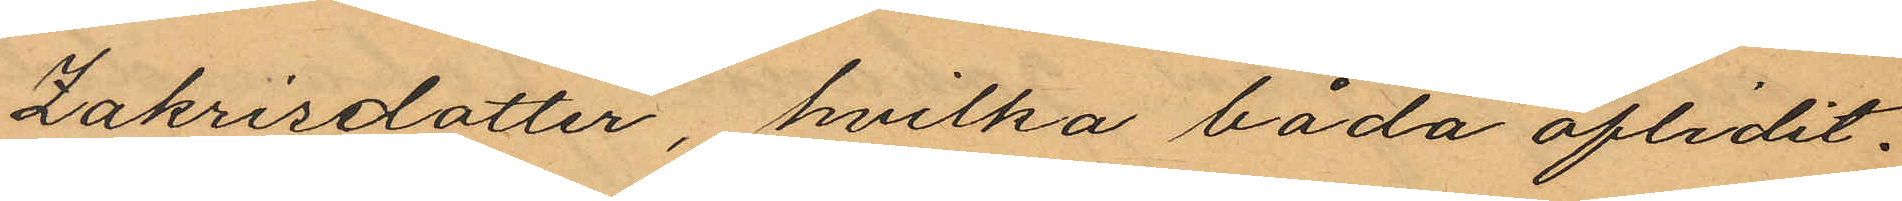Zakrisdotter, hvilka båda aflidit;
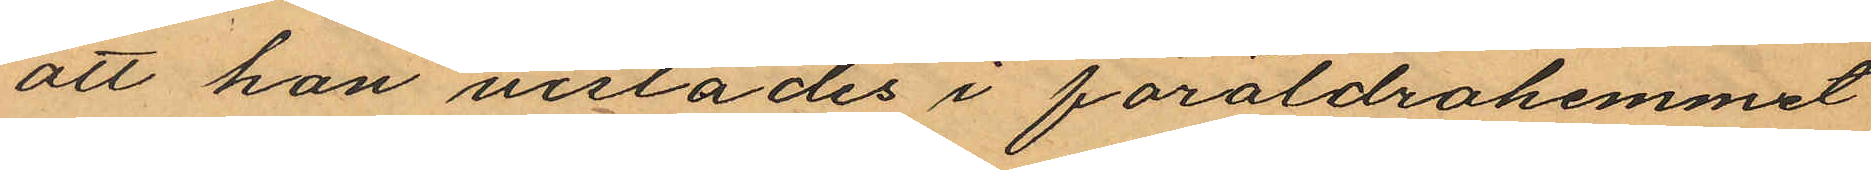att han urstädes i föräldrahemmet
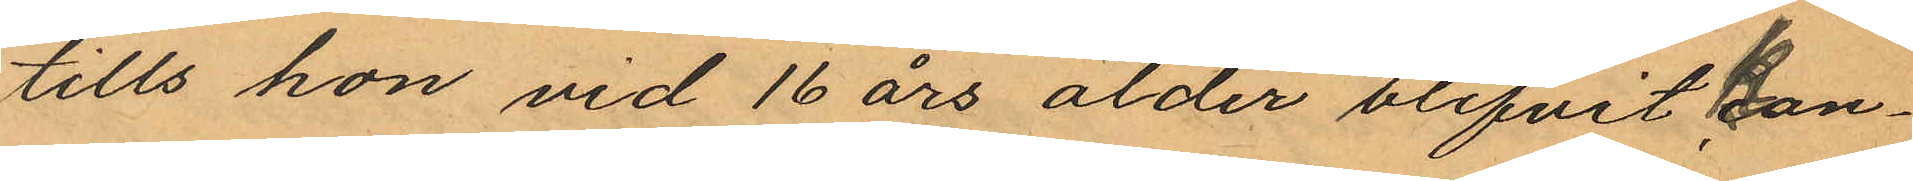tills hon vid 16 års ålder blifvit kon¬
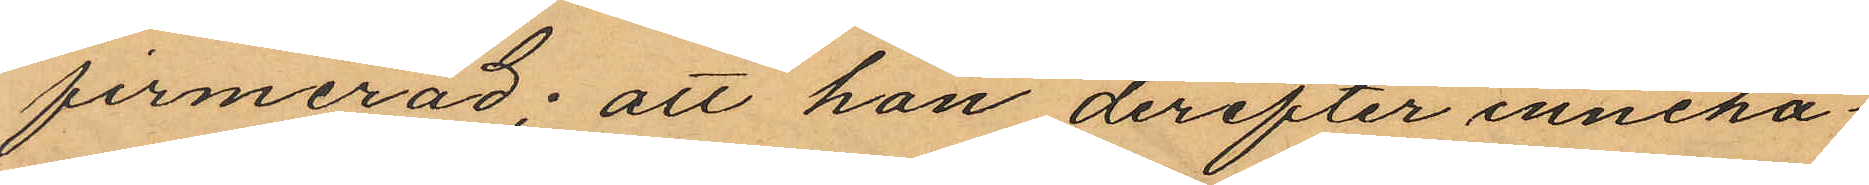firmerad; att hon derefter inneha¬
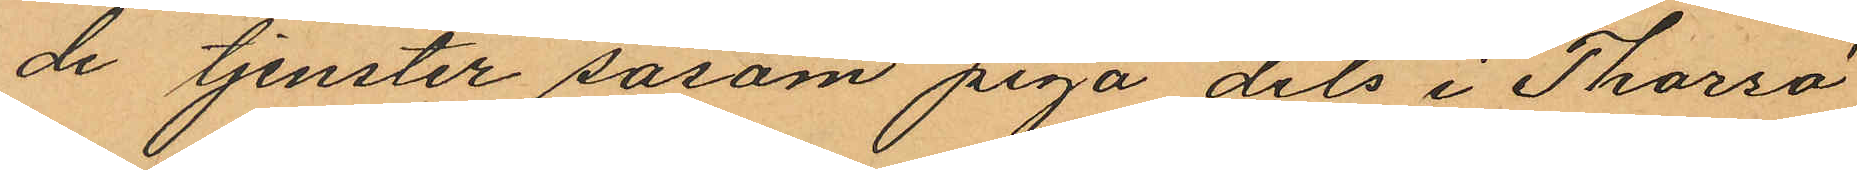de tjenster såsom piga dels i Thorsö
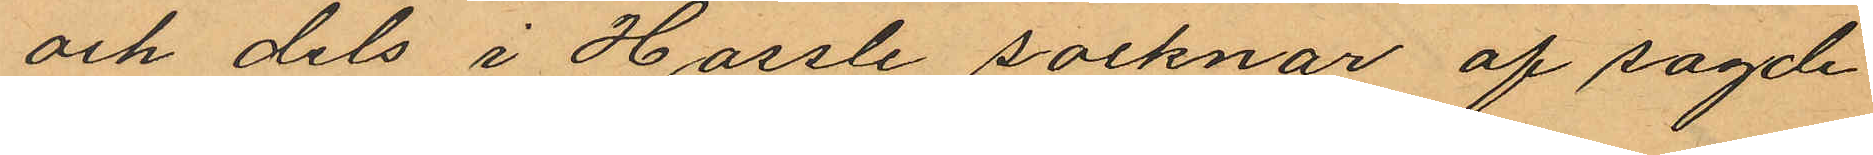och dels i Hassle socknar af sagde
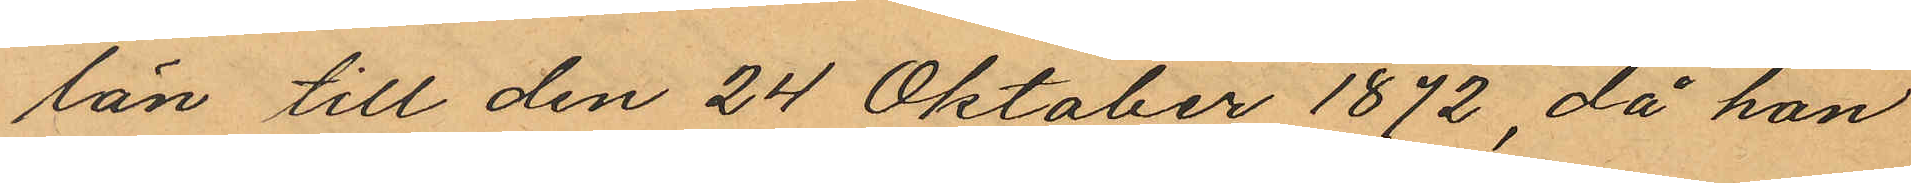län till den 24 Oktober 1872, då hon
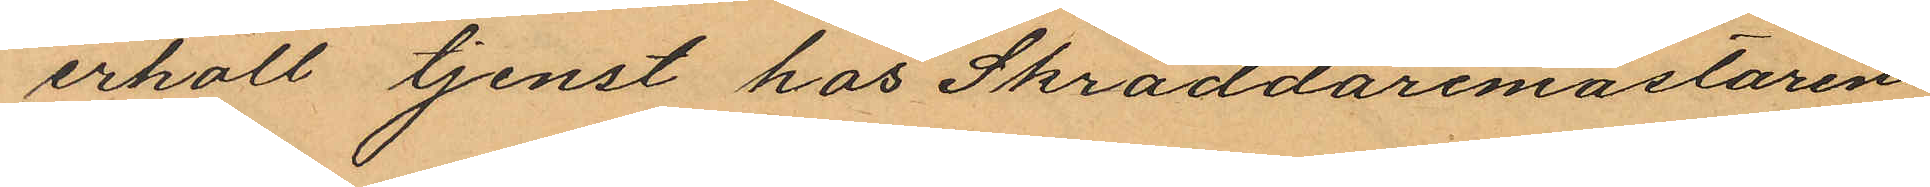erhöll tjenst hos Skräddaremästaren
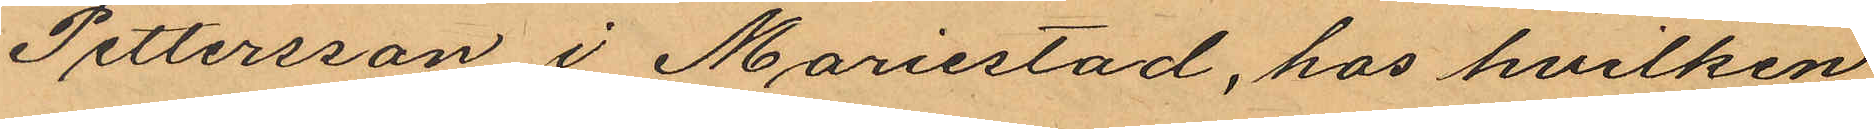Pettersson i Mariestad, hos hvilken
